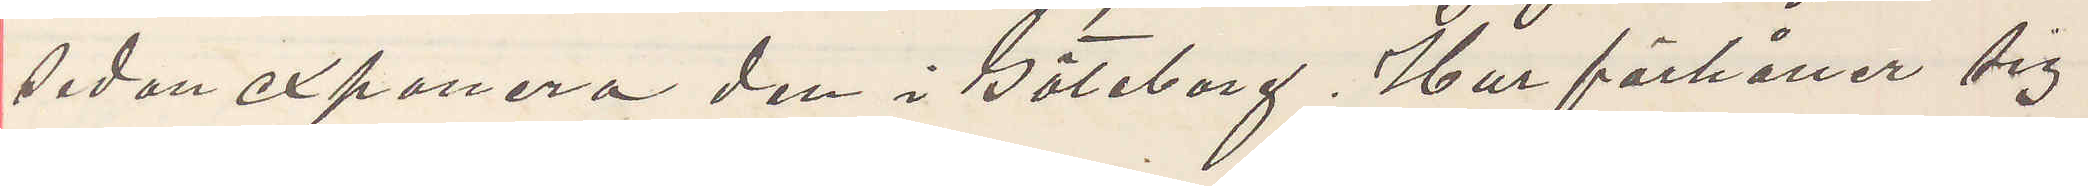sedan exponera den i Göteborg. Hur förhåller sig
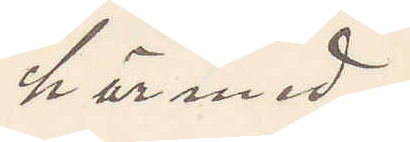härmed
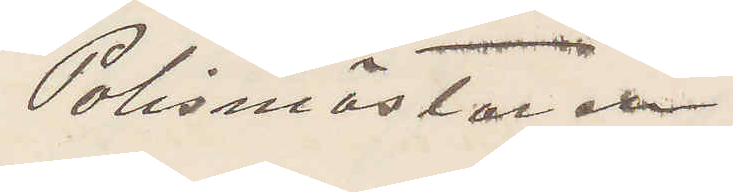Polismästaren
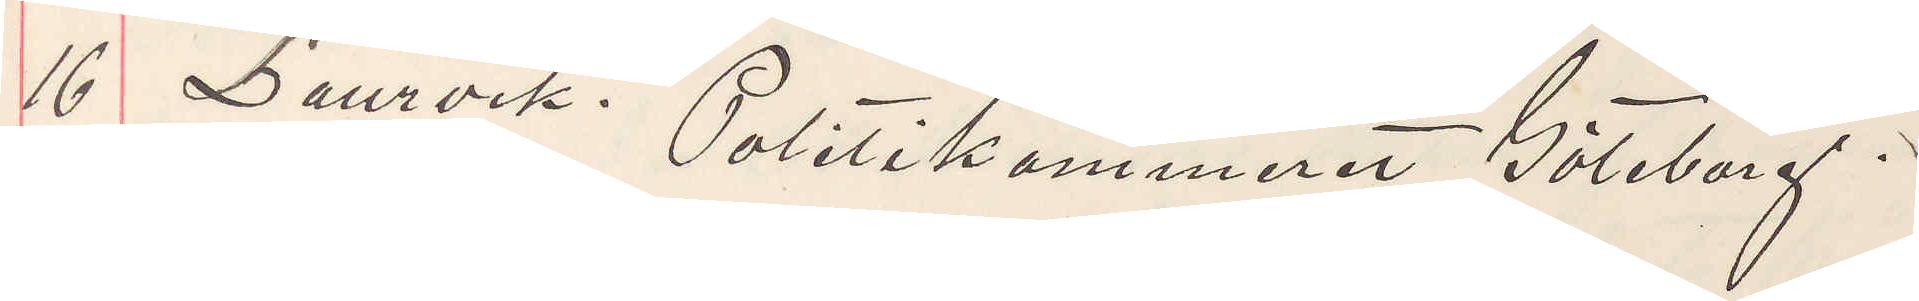16 Laurvik. Politikammeret Göteborg.
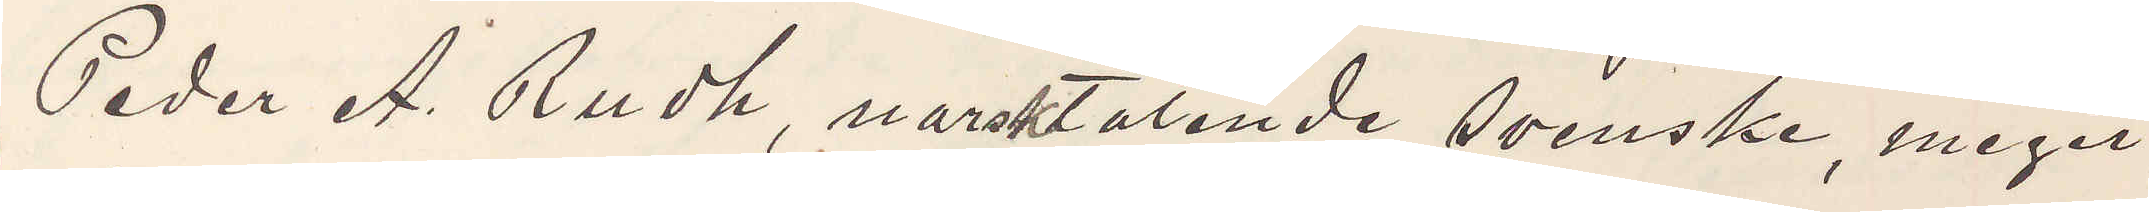Peder A. Rudh, norsktalande svenske, meget
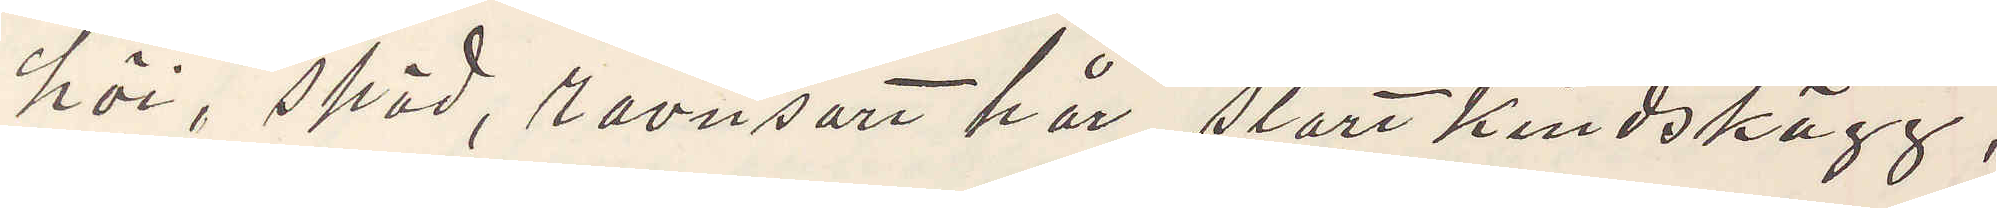höi, späd, ravnsart hår, stort kindskägg,
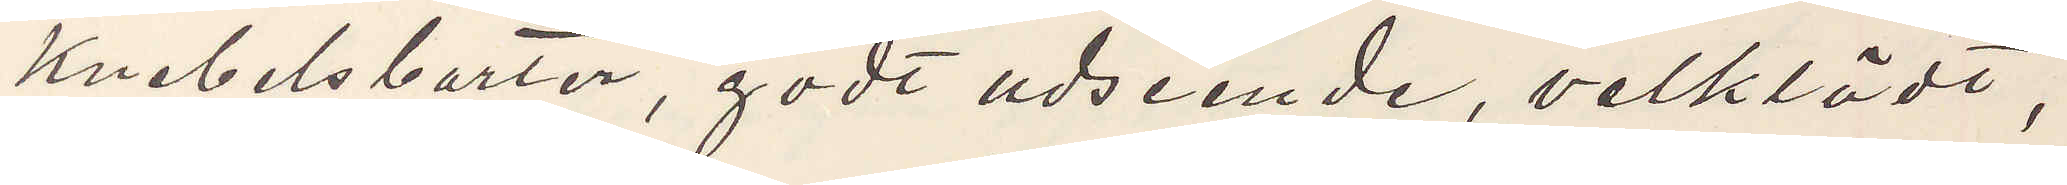knebelsbarter, godt udseende, velklädt,
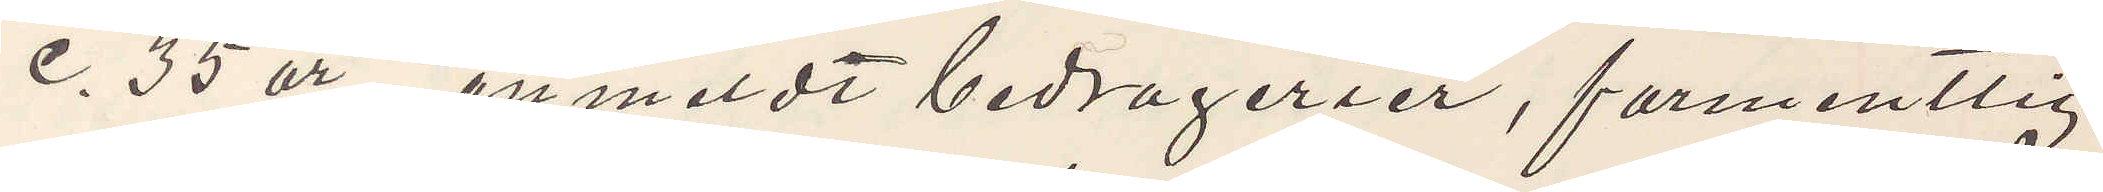c. 35 år, anmeldt bedragerier, farmentlig
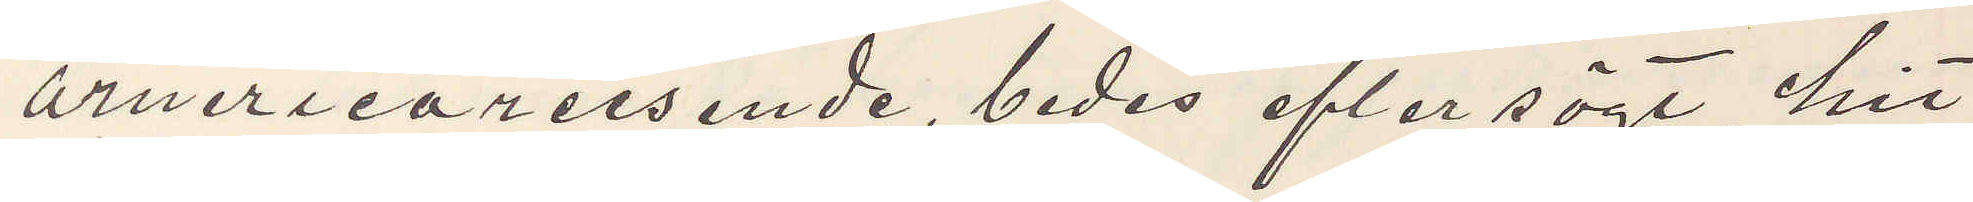armericareisende, bedes eftersögt, hit¬
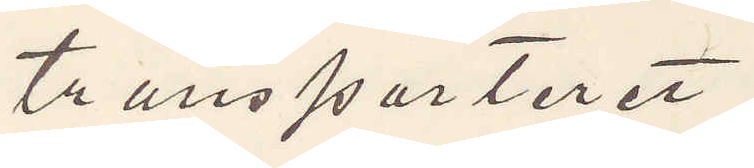transporteret.
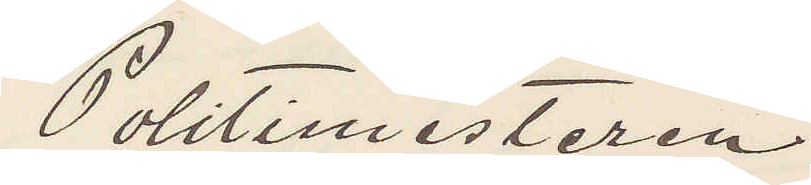Politimesteren
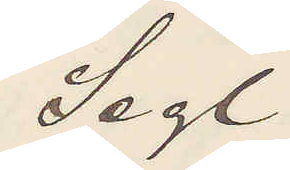Segl
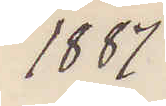1887
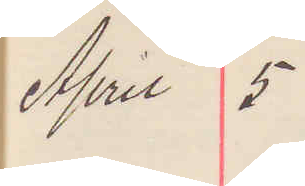April 5
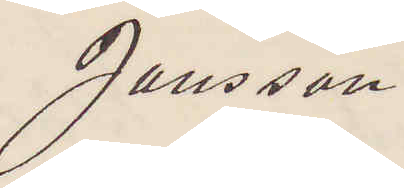Jansson
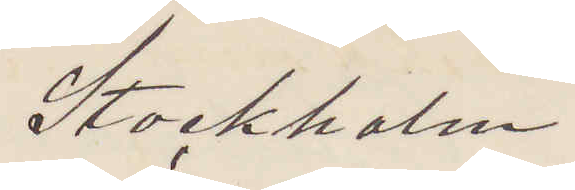Stockholm
